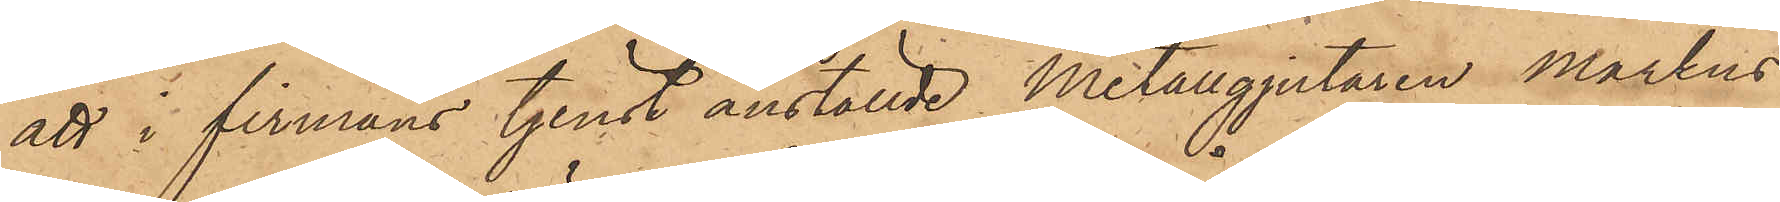att i firmans tjenst anställde Metallgjutaren Markus
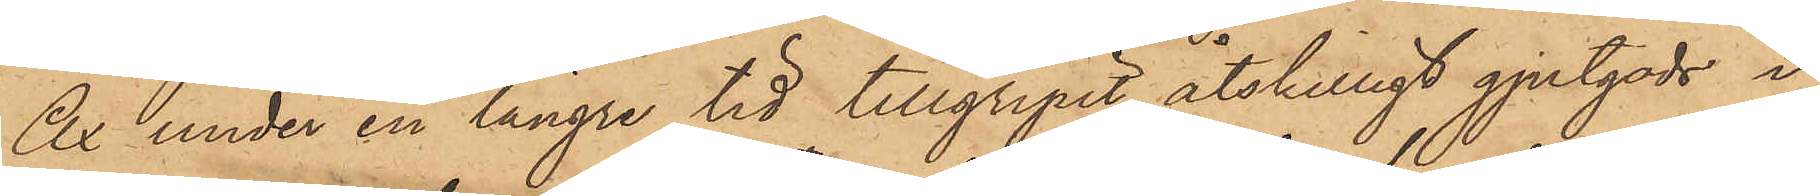Ax under en längre tid tillgripit åtskilligt gjutgods i
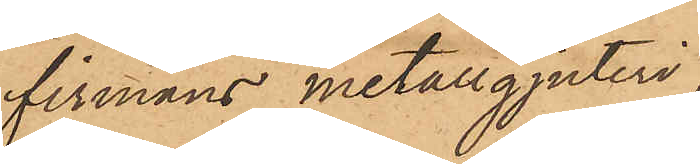firmans metallgjuteri;
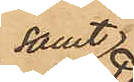samt
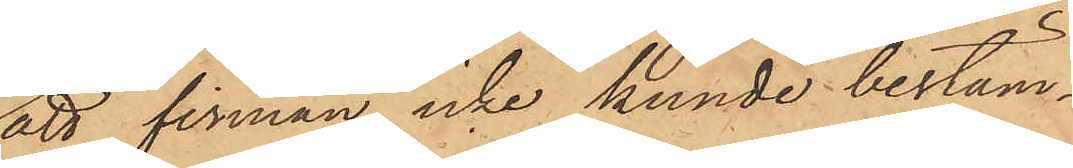att firman icke kunde bestäm¬
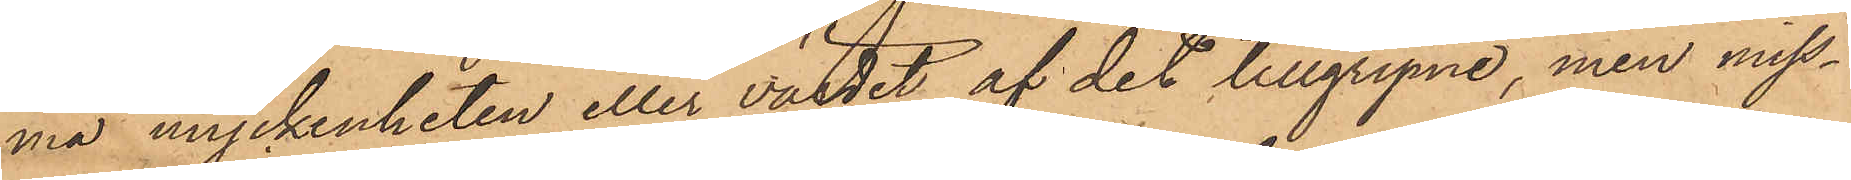ma myckenheten eller värdet af det tillgripne, men miss¬
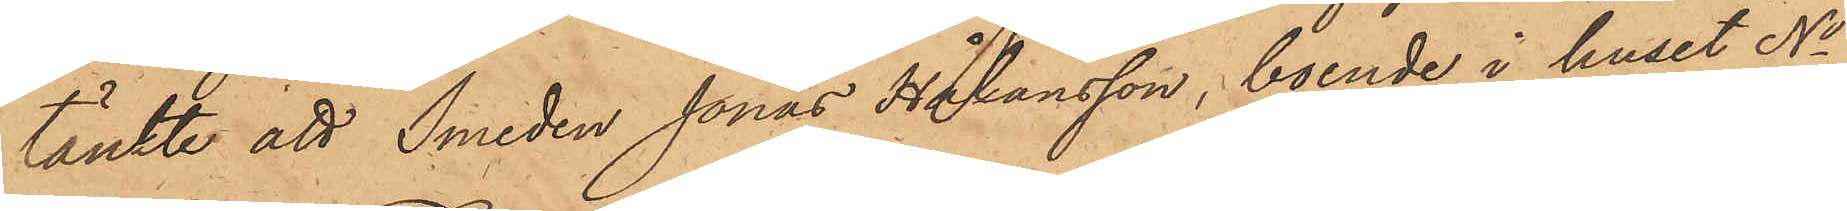tänkte att Smeden Jonas Håkansson, boende i huset No
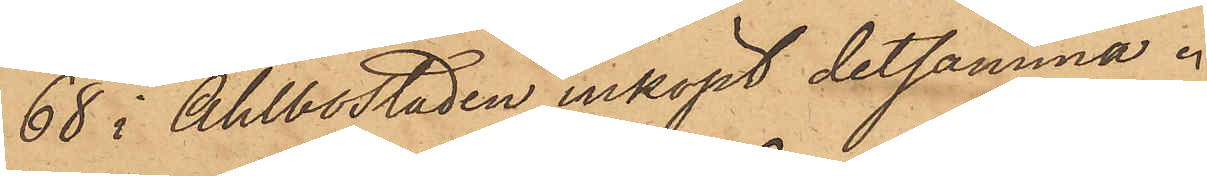68 i Ahlbostaden, inköpt detsamma.
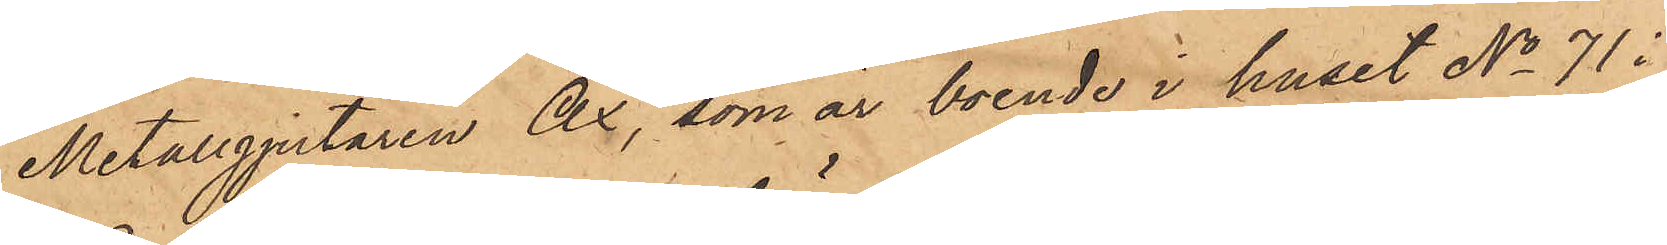Metallgjutaren Ax, som är boende i huset No 71 i
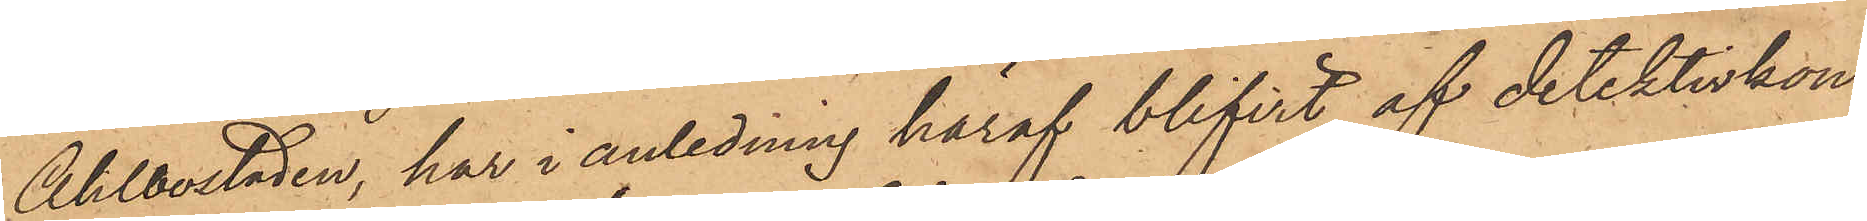Ahlbostaden, har i anledning häraf blifvit af detektivkon¬
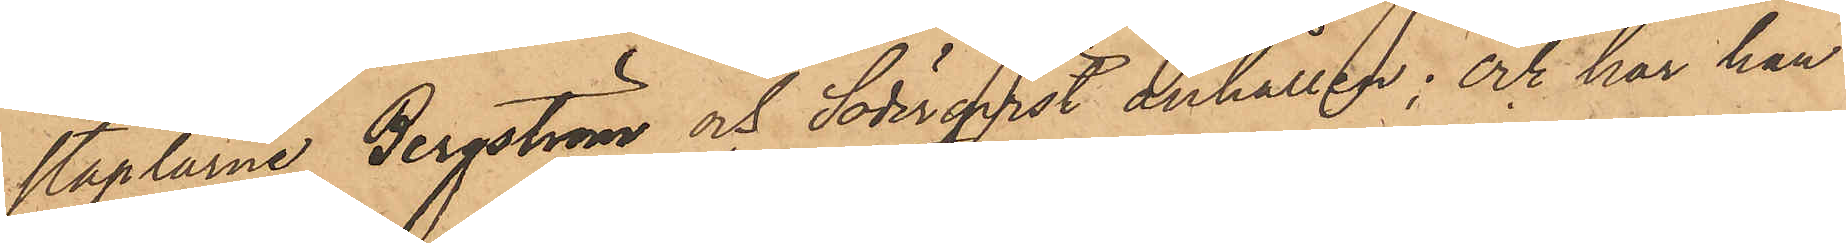staplarne Bergström och Söderqvist anhållen; och har han
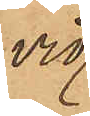vid
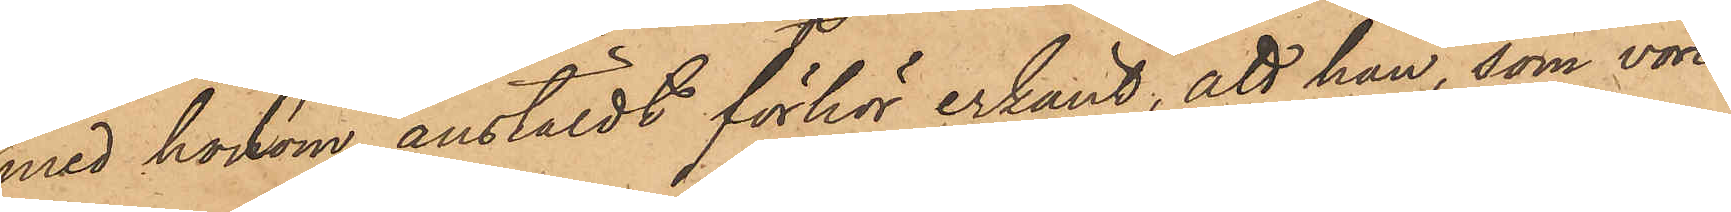med honom anstäldt förhör erkänt, att han, som vore
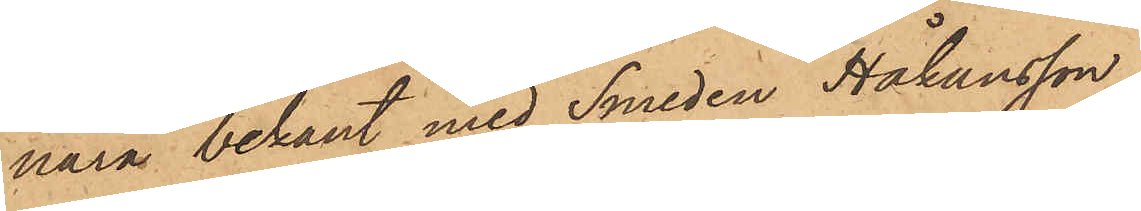nära bekant med Smeden Håkansson,
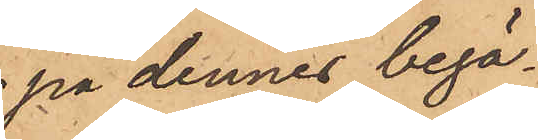på dennes begä¬
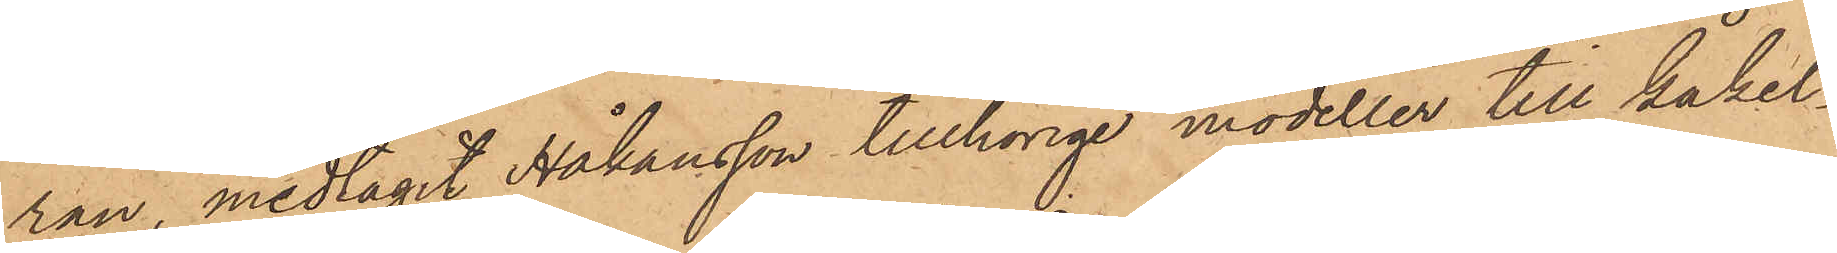ran, medtagit Håkansson tillhörige modeller till kakel¬
